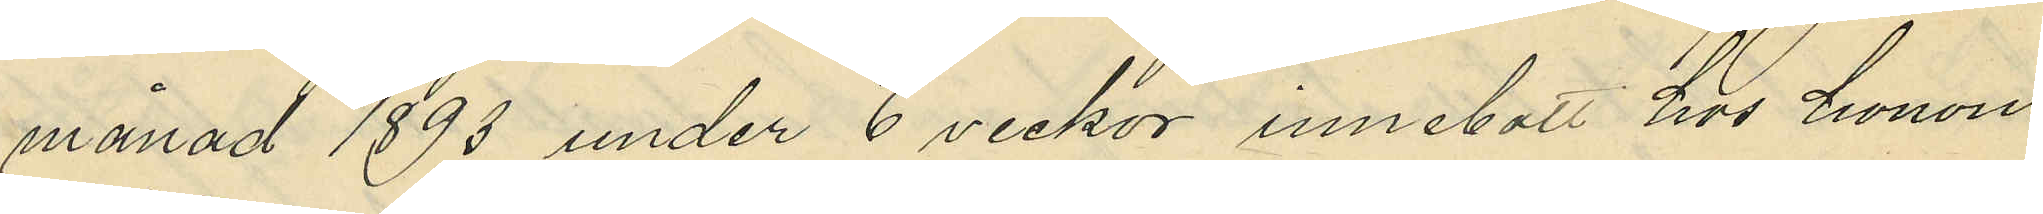månad 1893 under 6 veckor innebott hos honom
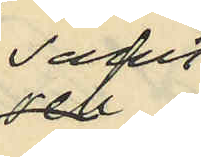samt
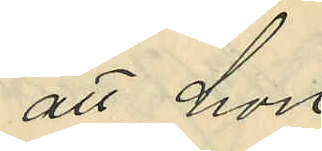att hon
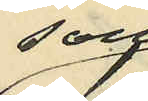som
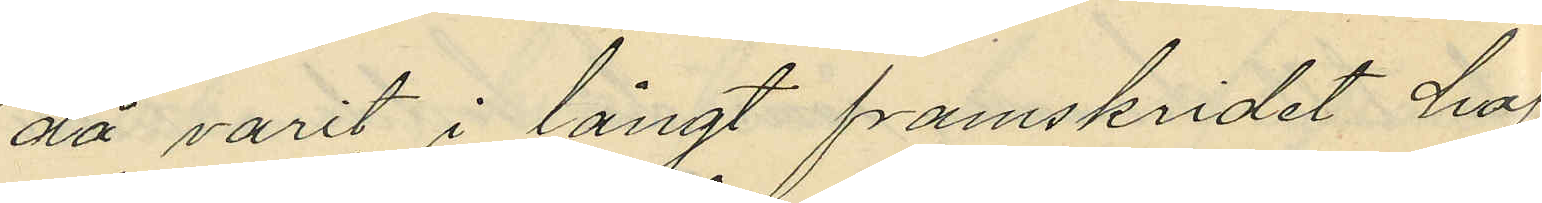då varit i långt framskridet haf¬
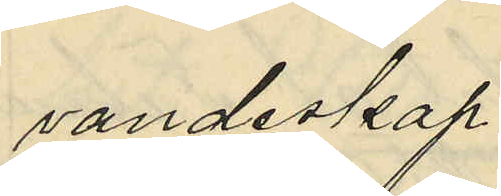vandeskap
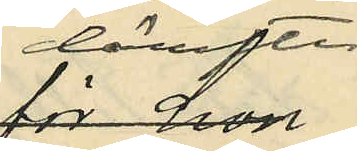derefter
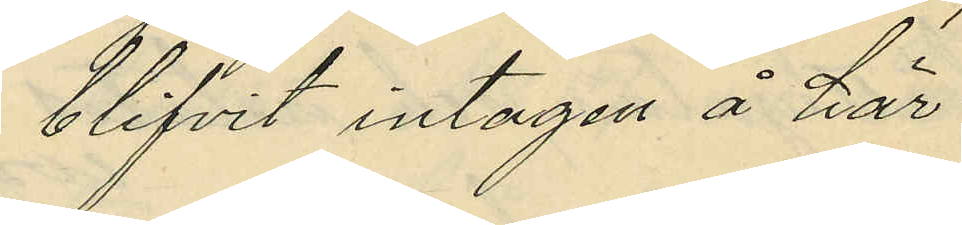blifvit intagen å här¬
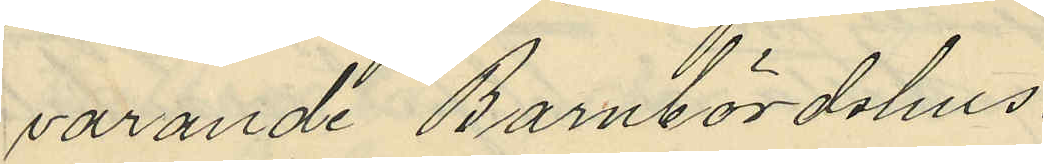varande Barnbördshus.
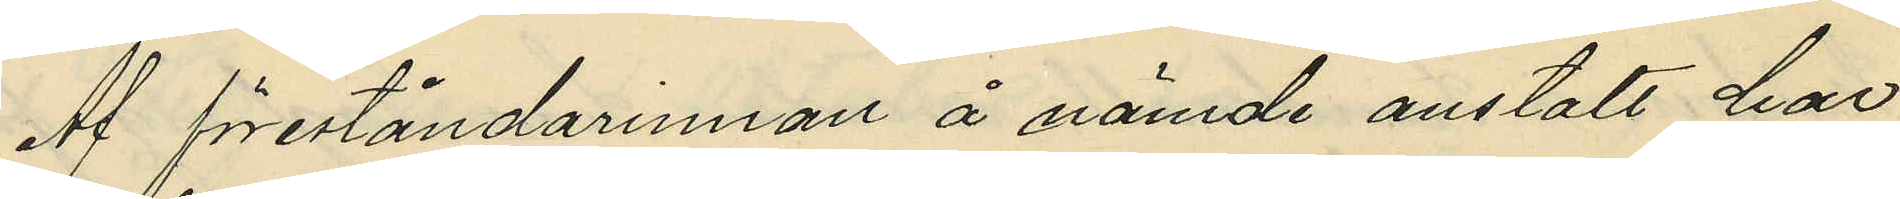Af föreståndarinnan å nämde anstalt har
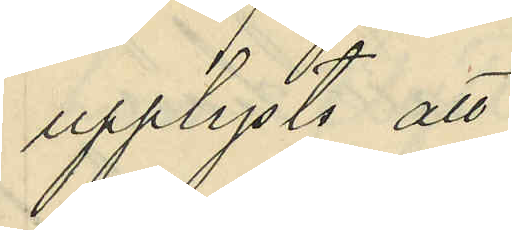upplysts att
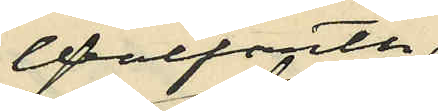Wolfarth
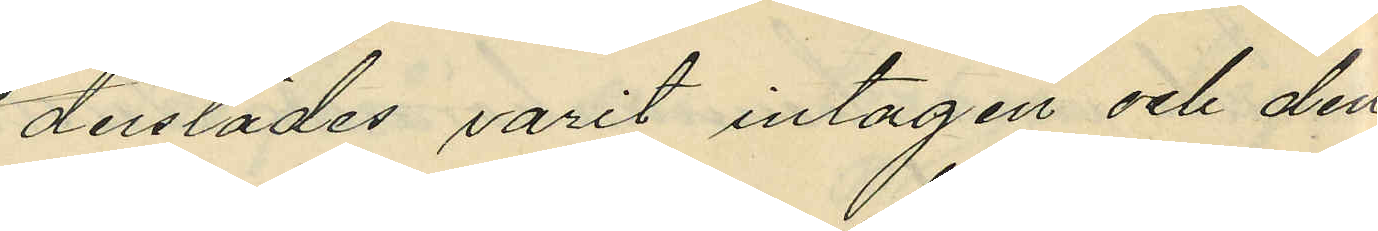derstädes varit intagen och den
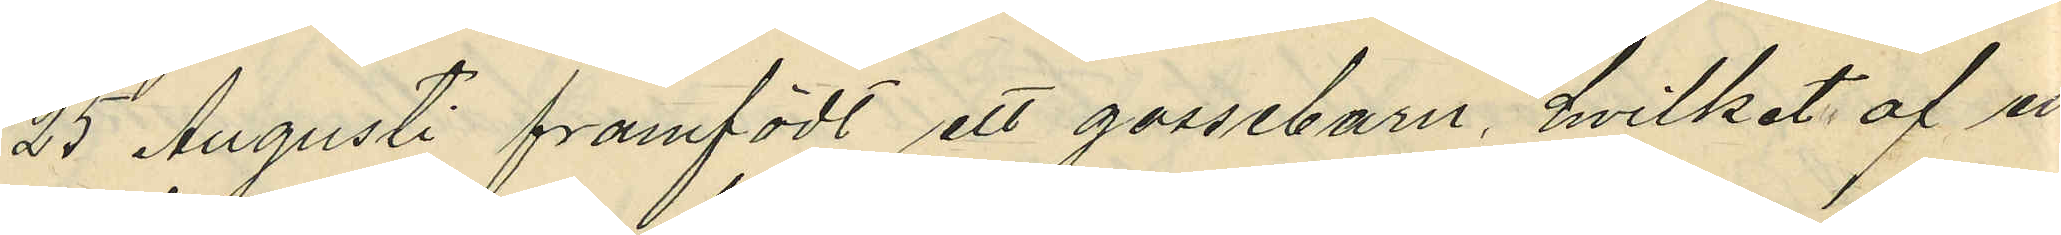25 Augusti framfödt ett gossebarn hvilket af en
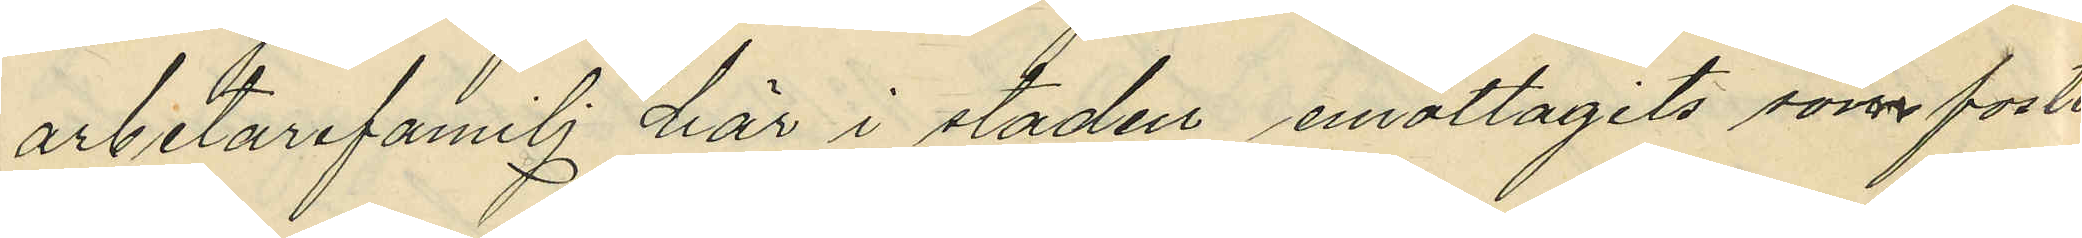arbetarefamilj här i staden emottagits som foster¬
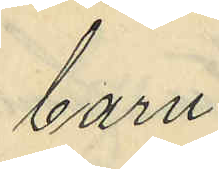barn.
